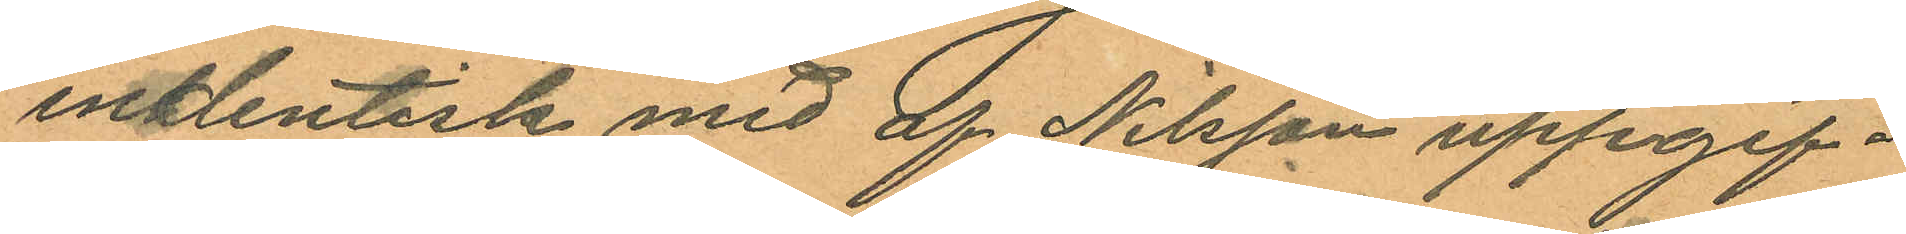indentisk med af Nilsson uppgif¬
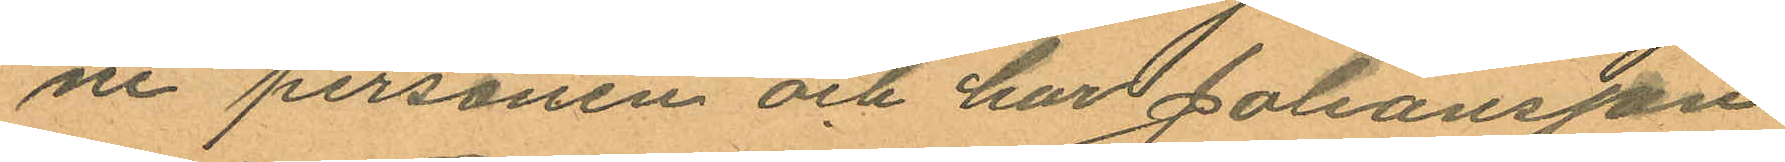ne personen och har Johansson
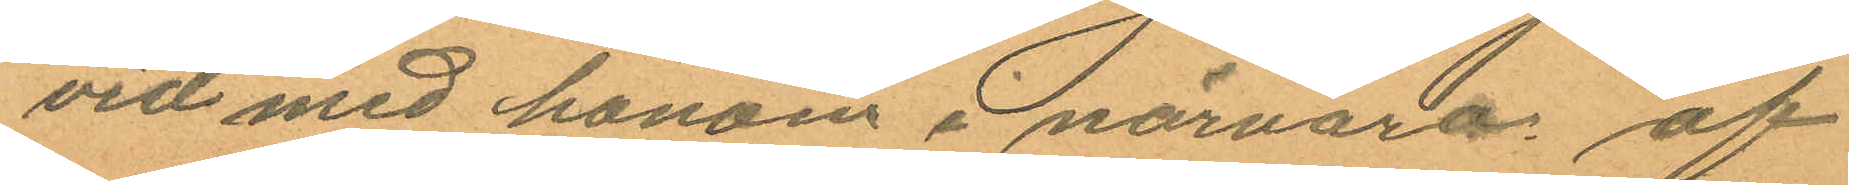vid med honom i närvaro af
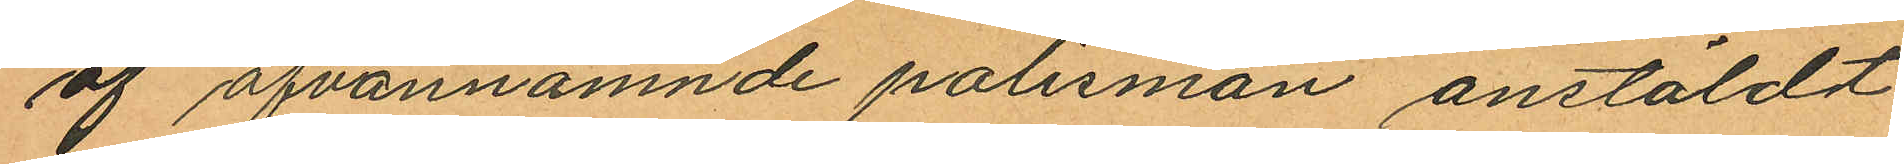af ofvannämnde polismän anstäldt
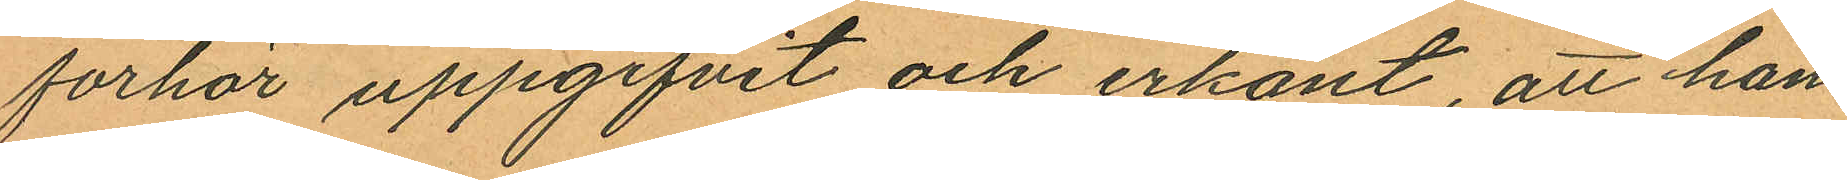forhör uppgifvit och erkänt, att han
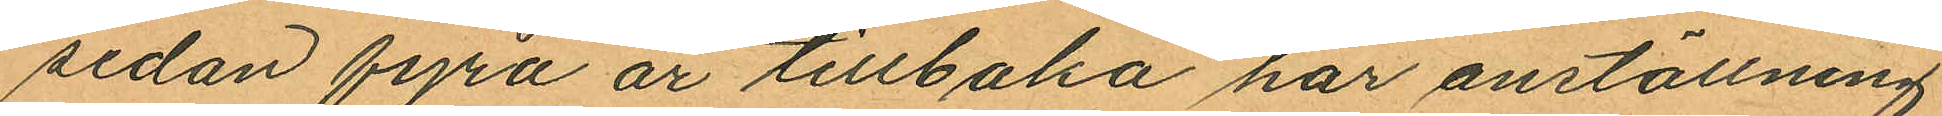sedan fyra år tillbaka har anställning
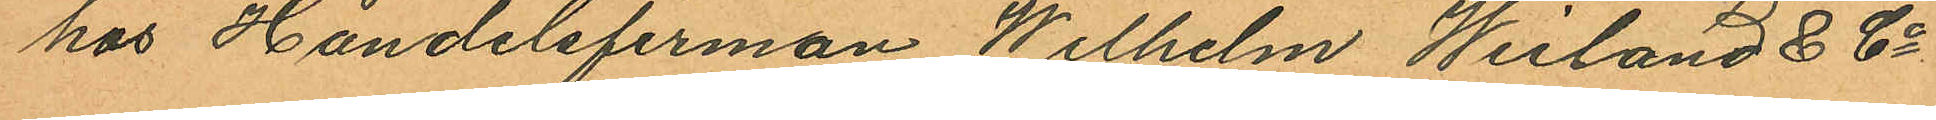hos Handelsfirman Wilhelm Weiland & Co
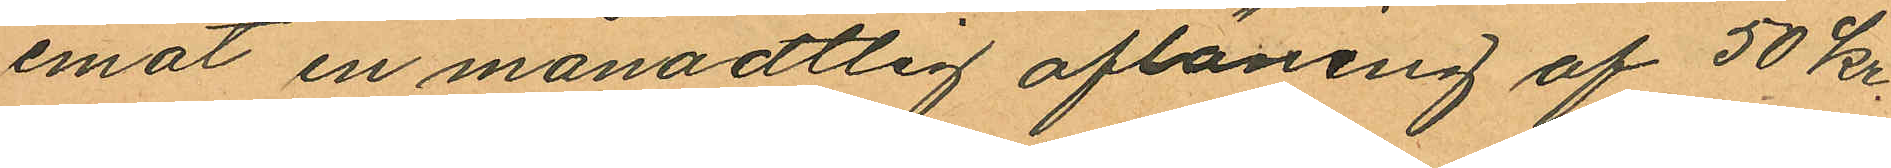emot en månadtlig aflöning af 50 kr.
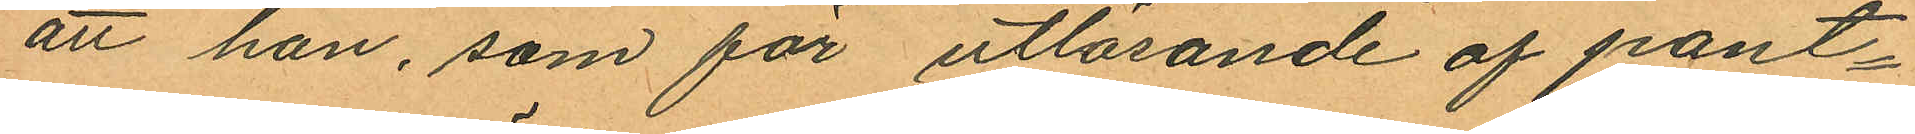att han, som för utlösande af pant¬
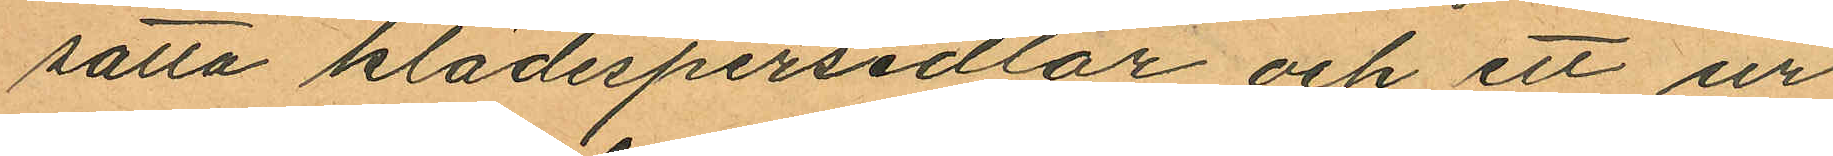satta klädespersedlar och ett ur
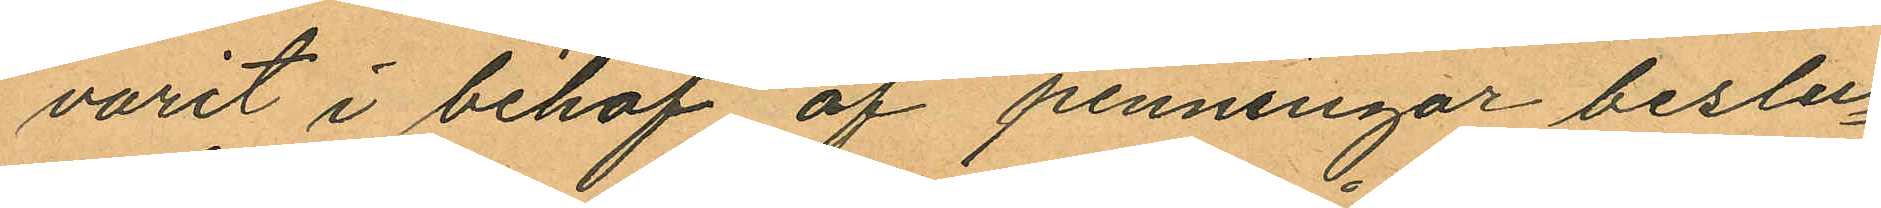varit i behof af penningar beslu¬
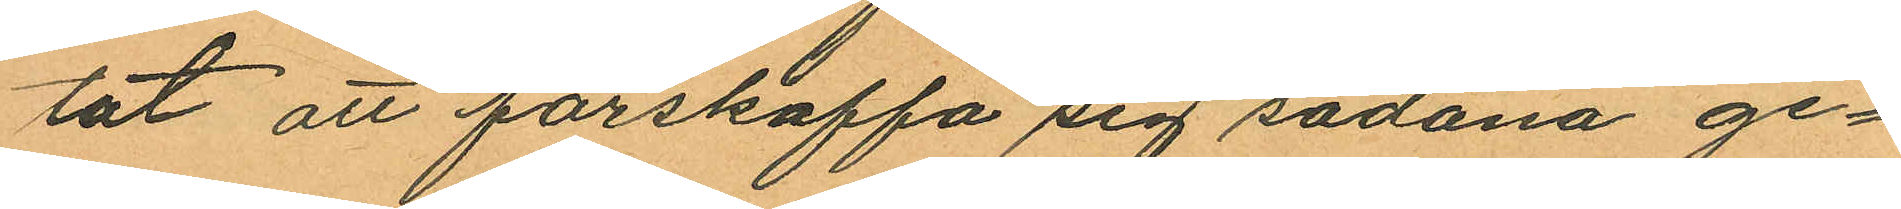tat att förskaffa sig sådana ge¬
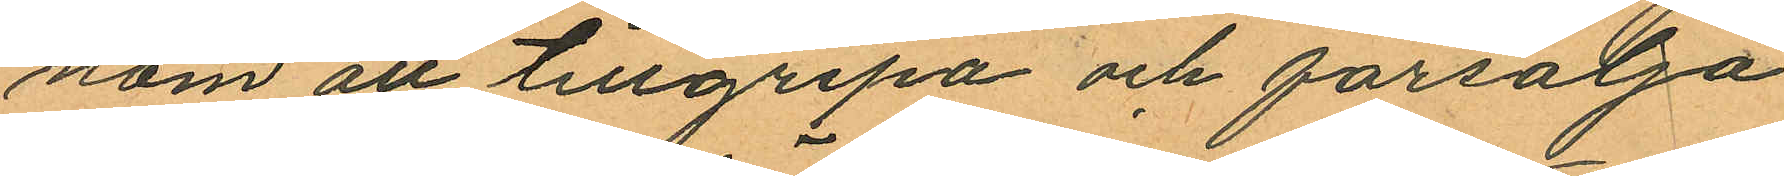nom att tillgripa och försälja
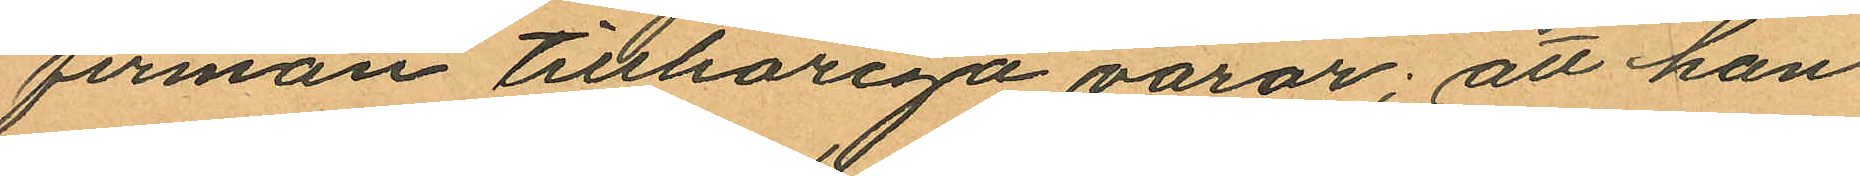firman tillhöriga varor; att han
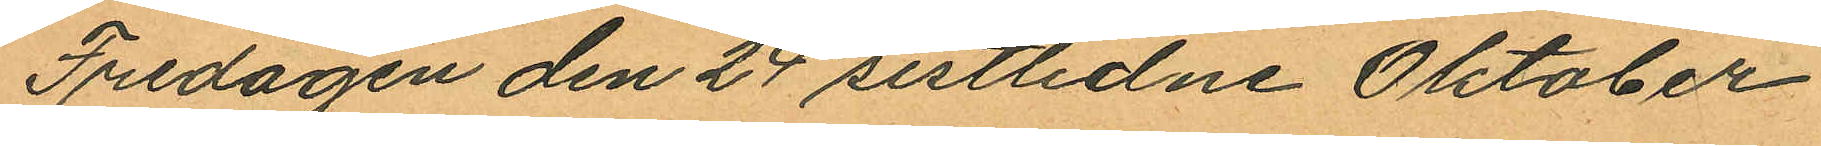Fredagen den 24 sistlidne Oktober
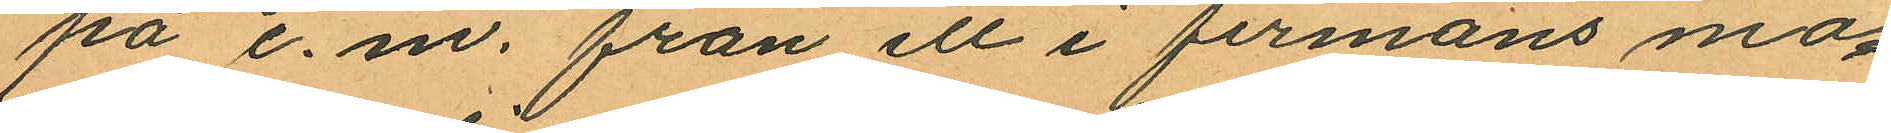på e. m. från ett i firmans ma¬
